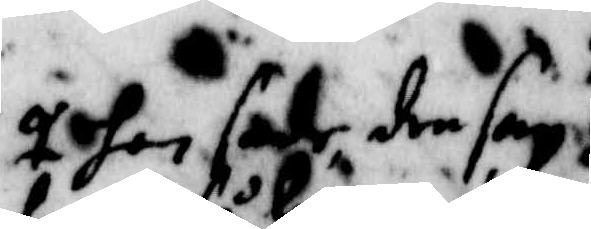hon sade den san
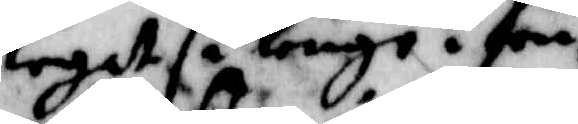lagdt så länge hon
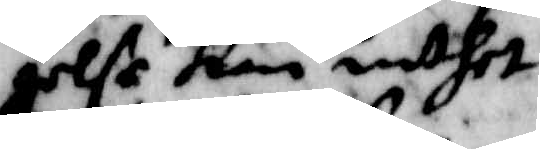orlse kan inthet
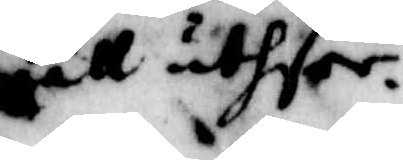wäll uthser.
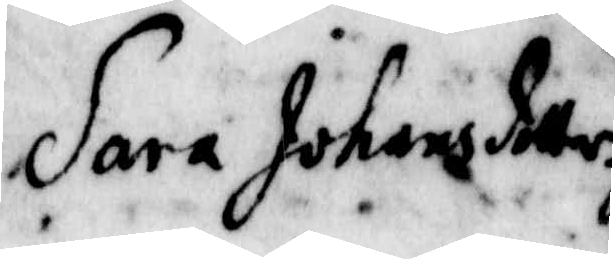Sara Johansdotter
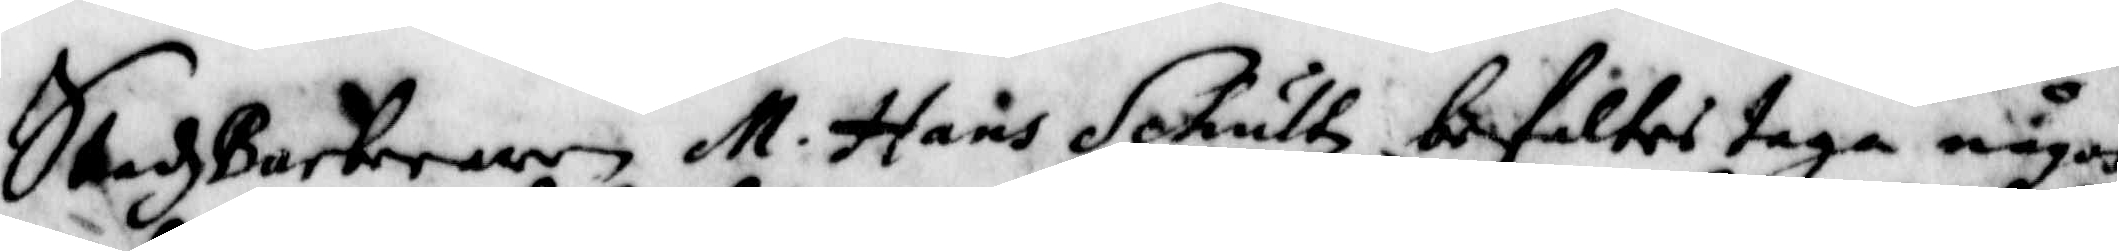Stadzbarberaren M. Hans Schultz befaltes taga någon
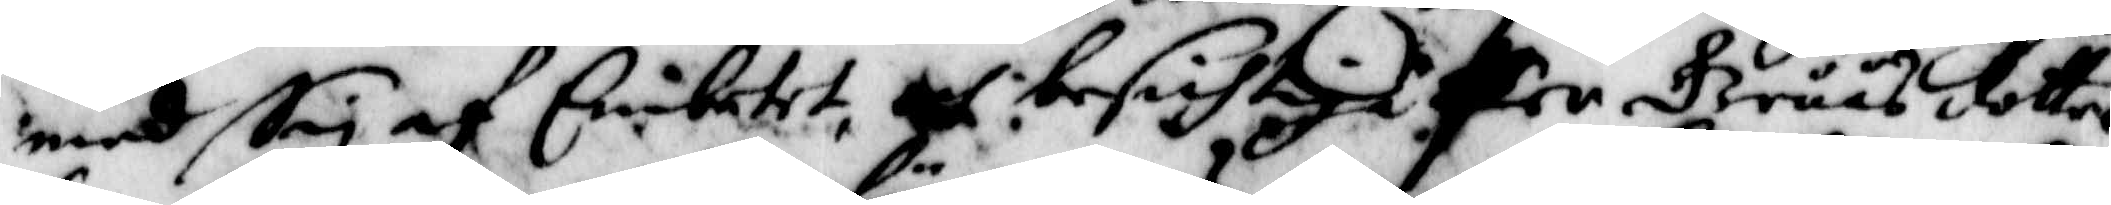med Sig af Embetet, och besichtiga Per Gruus dotter
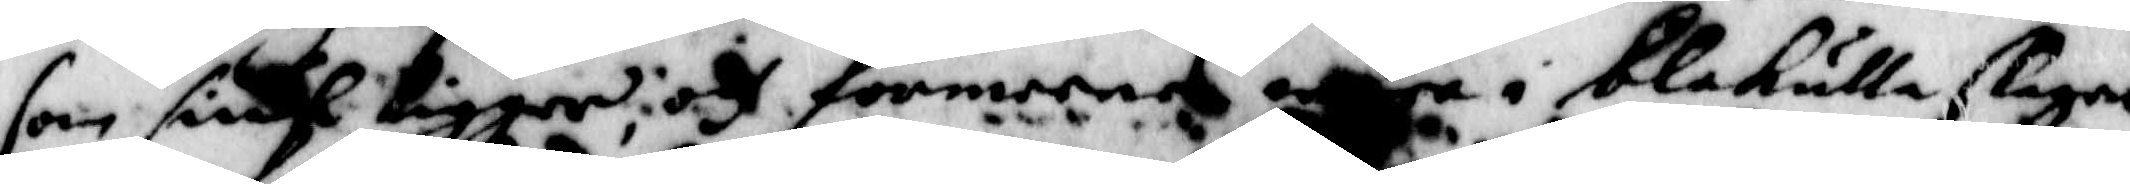som siuk ligger, och förmenes wara i blåkulla slagen
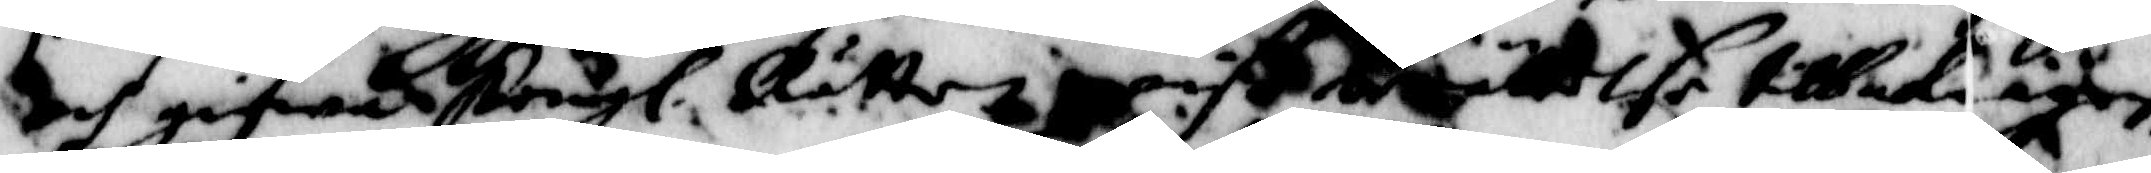och gifwa Kongl. Rätten wiß berättelse tillbaka igen,
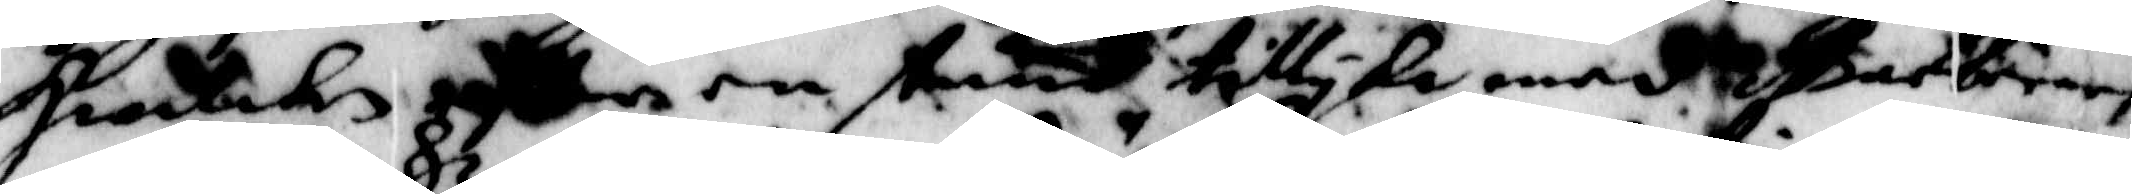hwilken eftter en stund tillyka med Barberaren
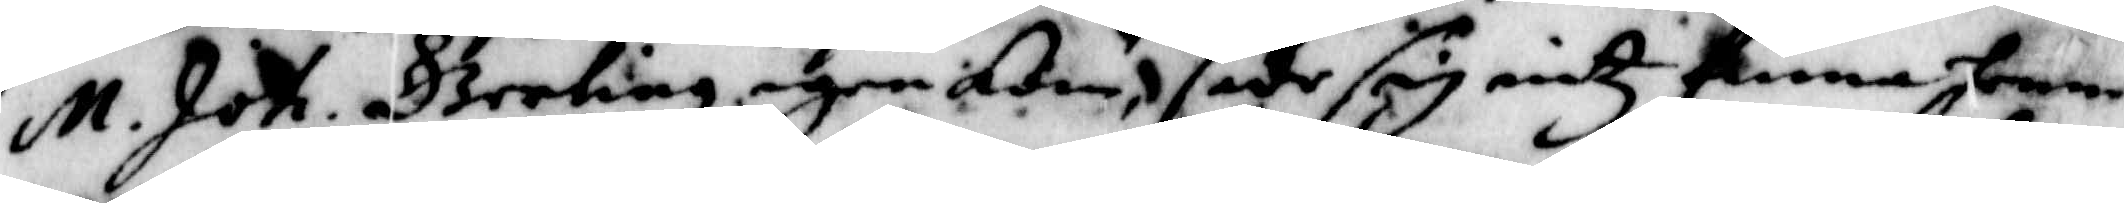M. Joh. Gerling igen kom, sade sig intz finna henne
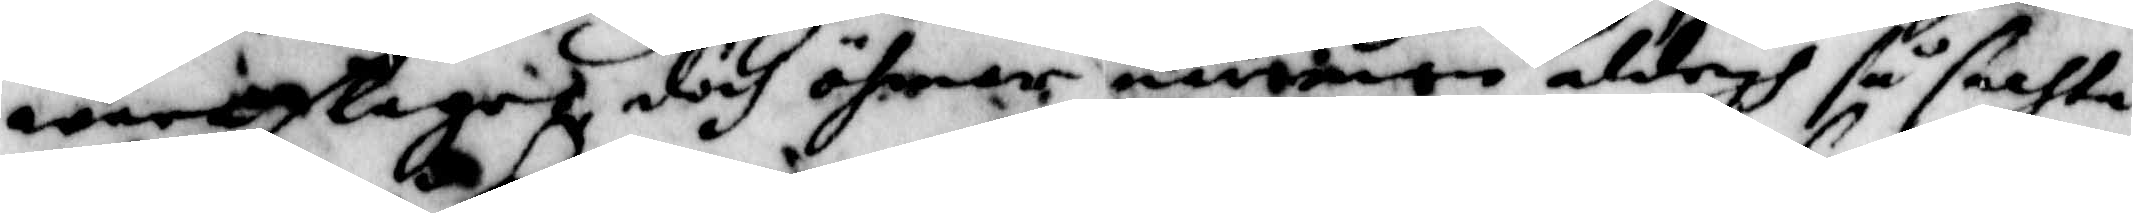warit slagit dödh öfwer munnen aldrigh så fachta 
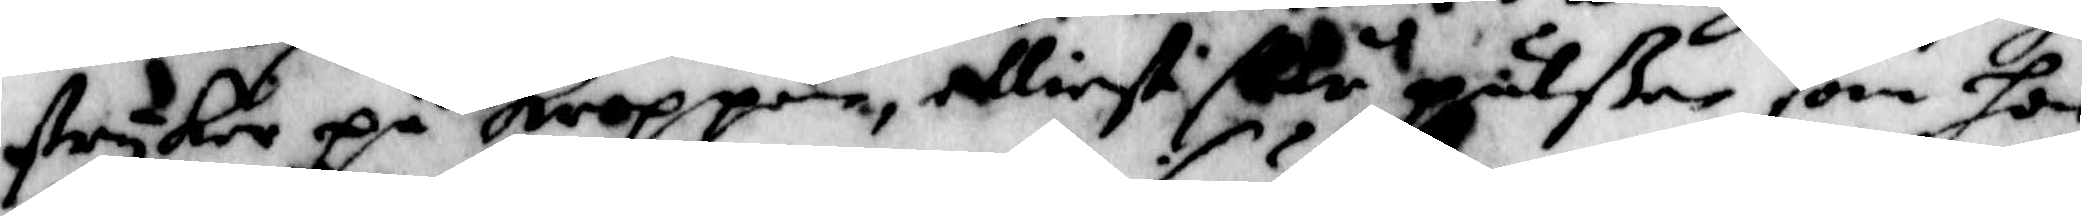stryker på kroppen, elliest sr pulßen som hon
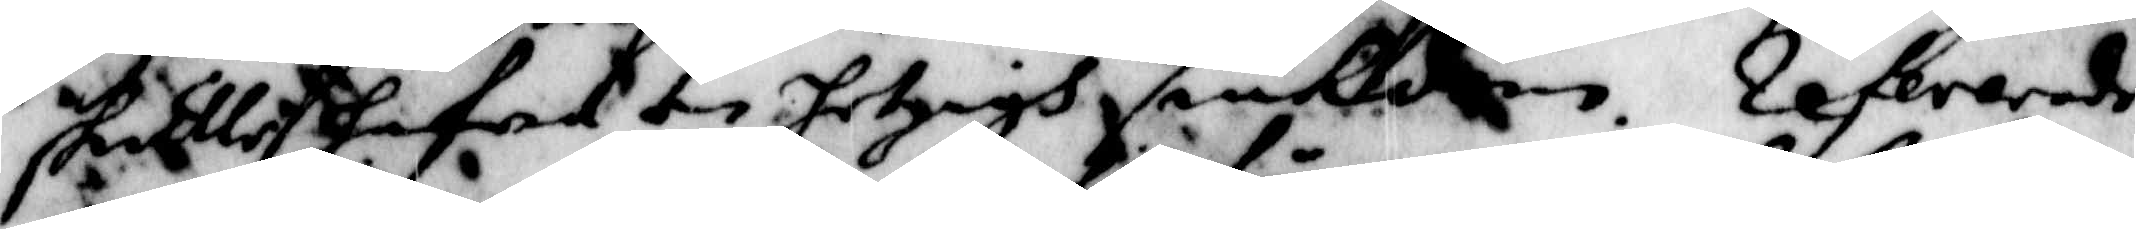skulle hafwa en hetsigh siukdom. Refererade
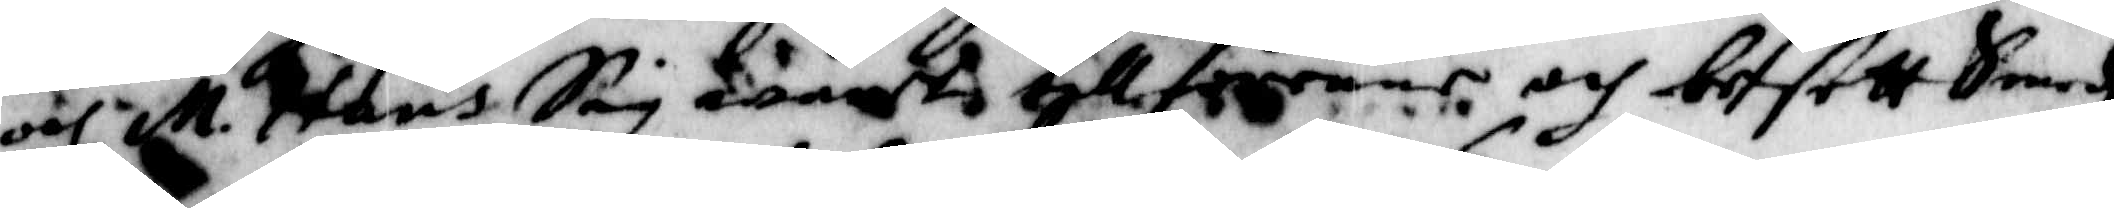och M. Hans Sig ändt tillförne och besatt Smedz
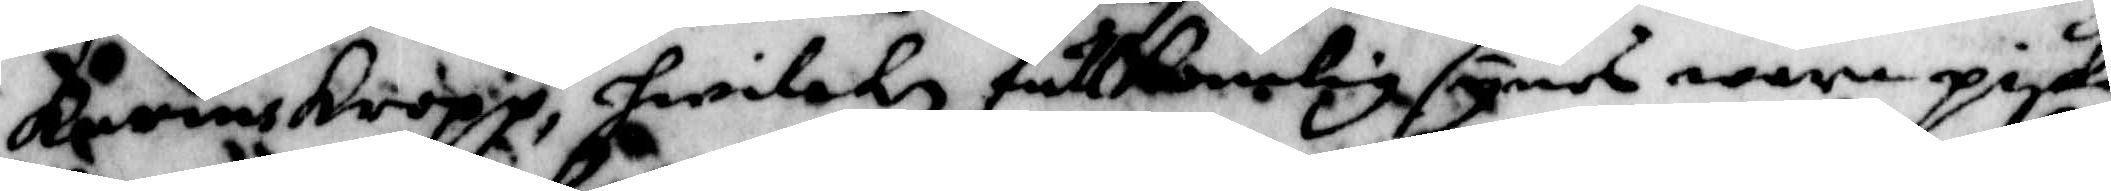karins kropp hwilken fullkomlig synes wara piska¬
